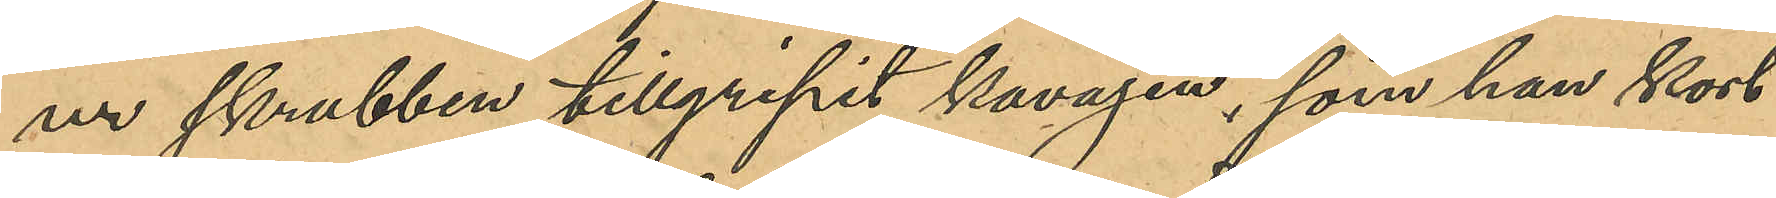ur skrubben tillgripit kavajen, som han kort
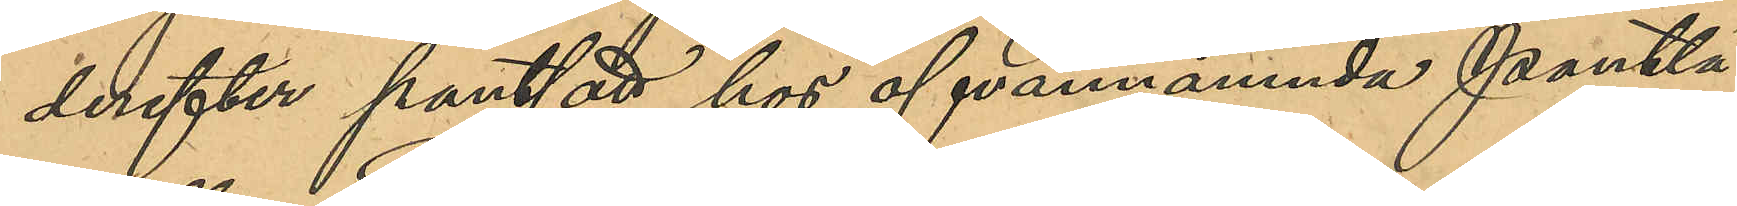derefter pantsatt hos ofvannämnda Pantlå¬
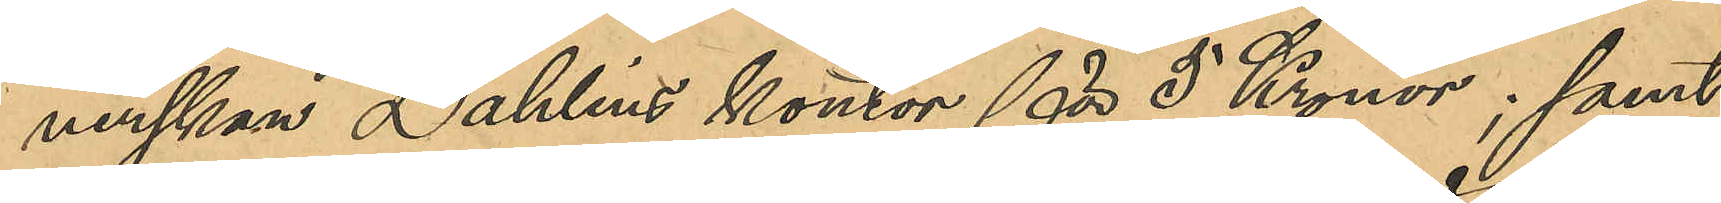nerskan Dahlins kontor för 5 Kronor; samt
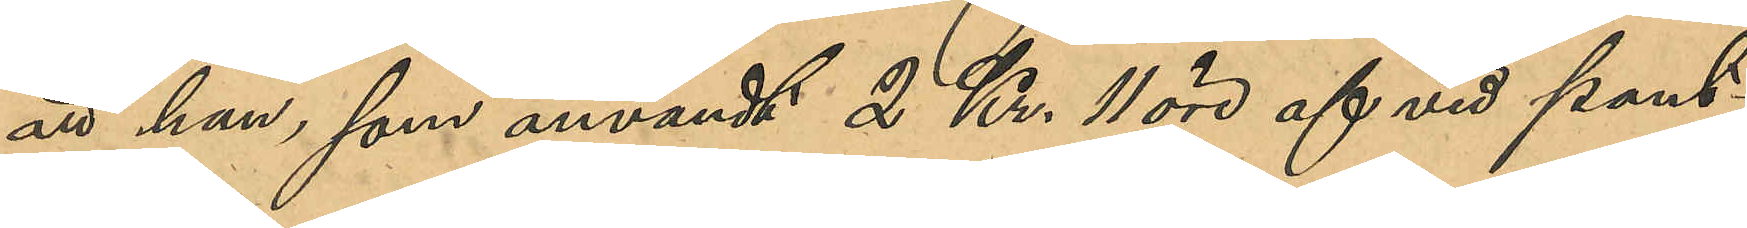att han som användt 2 Kr. 11 öre af vid pant¬
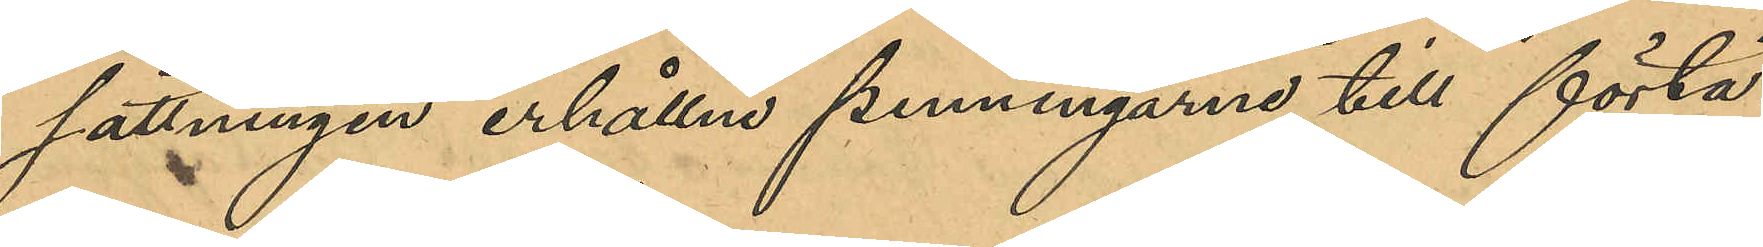sättningen erhållna penningarne till förtä¬
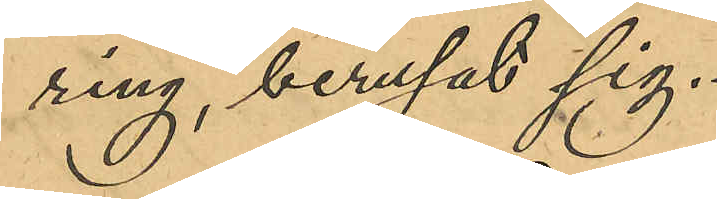ring berusat sig.
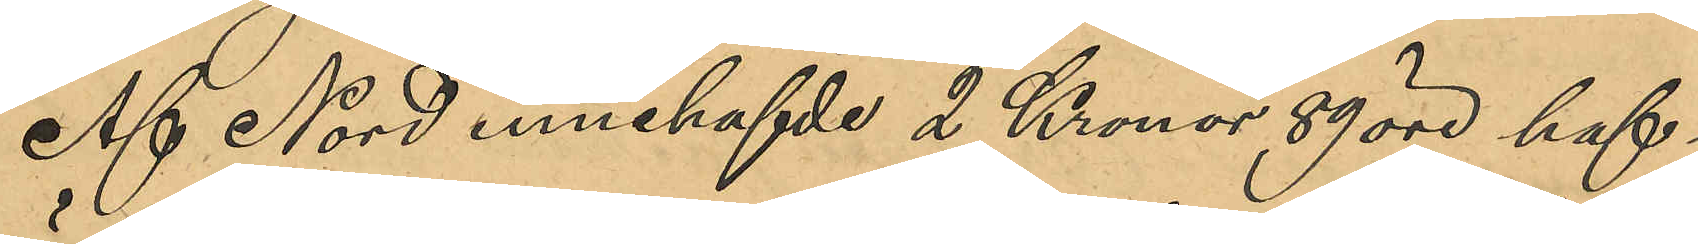Af Nord innehafvde 2 Kronor 89 öre haf-
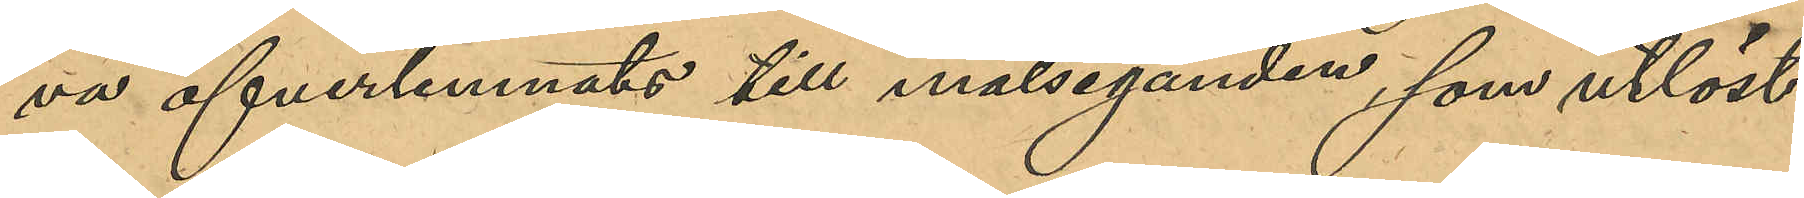va överlämnats till målseganden, som utlöst
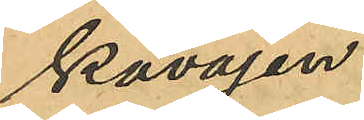kavajen.
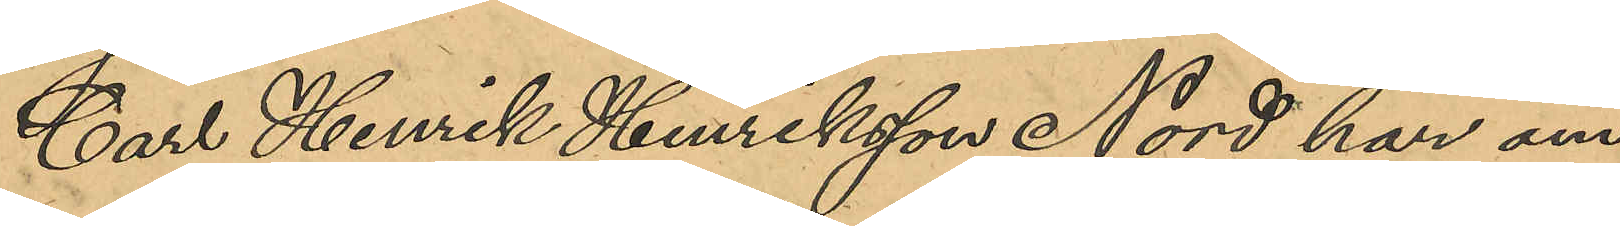Carl Henrik Henriksson Nord har om
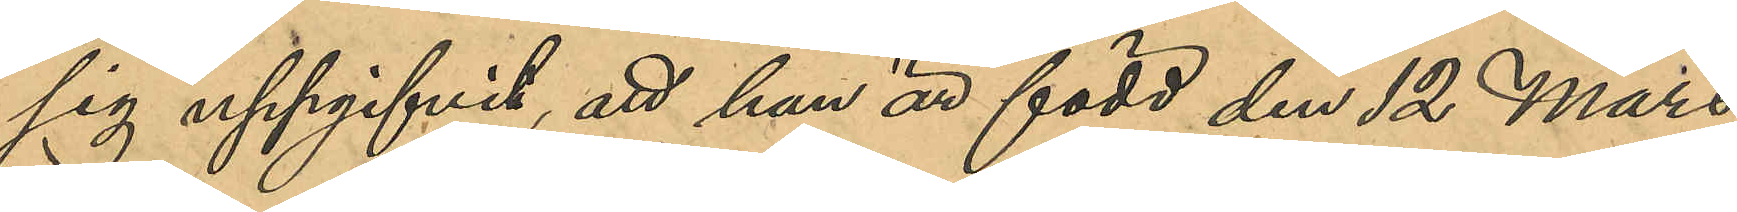sig uppgifvit, att han är född den 12 Mars
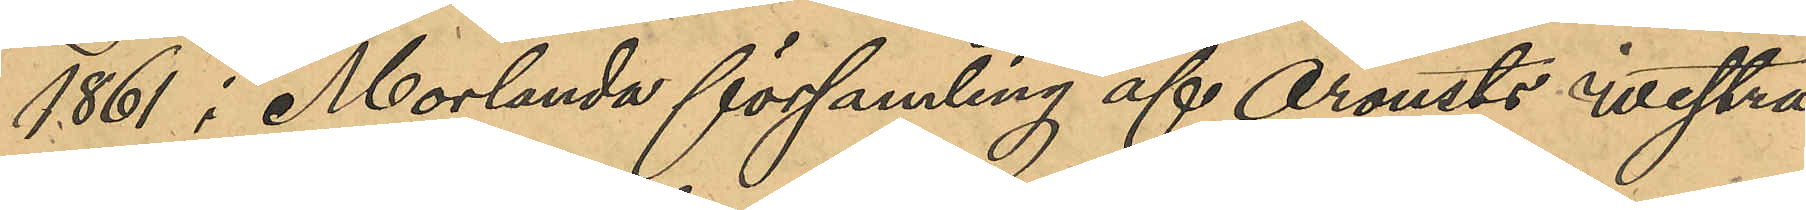1861 i Morlanda församling af Orousts westra
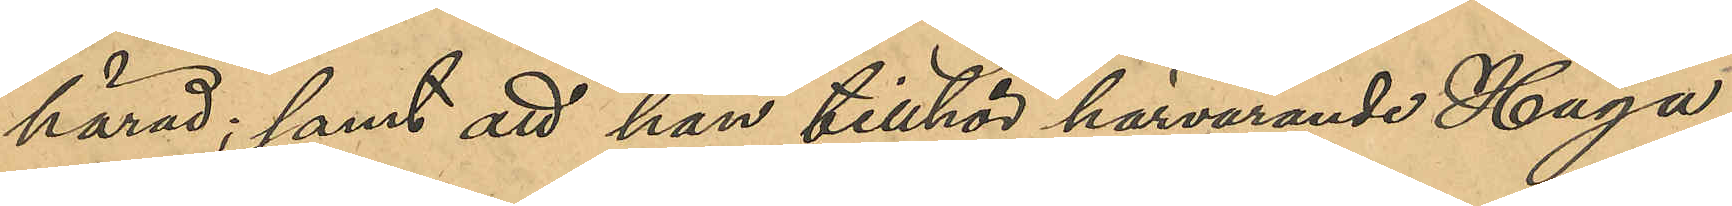härad; samt att han tillhör härvarande Haga
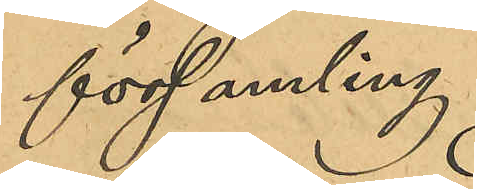församling.
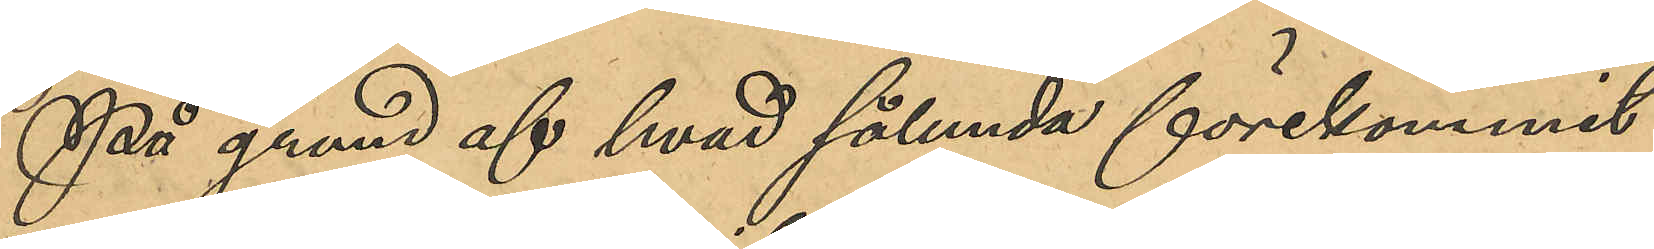På grund af hvad sålunda förekommit
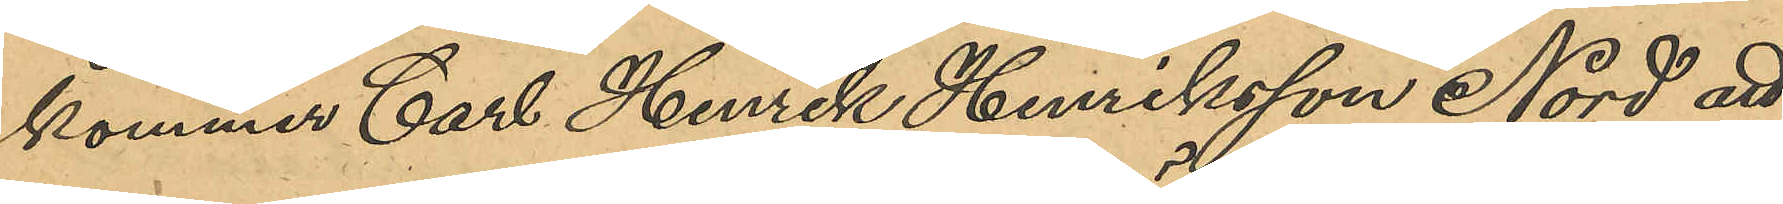kommer Carl Henrik Henriksson Nord att
